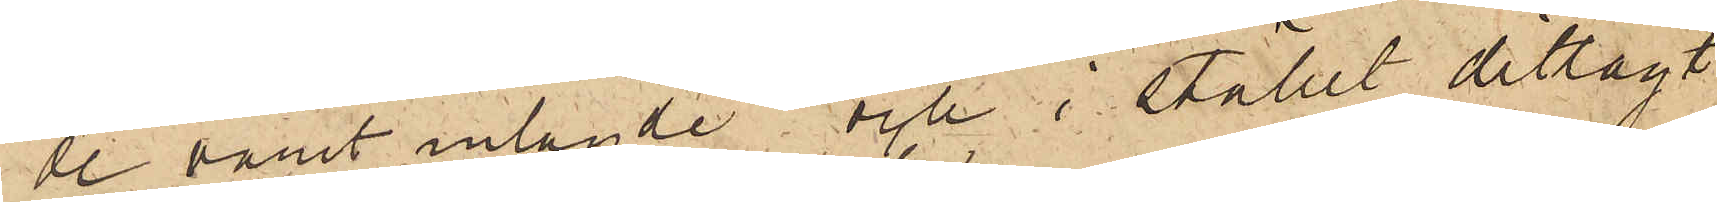de varit inlagde och i stället ditlagt
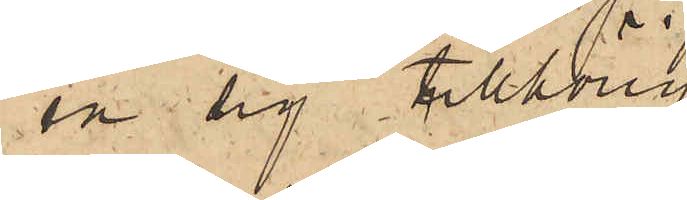en sig tillhörig
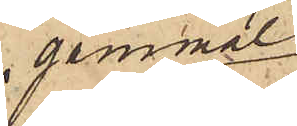gammal
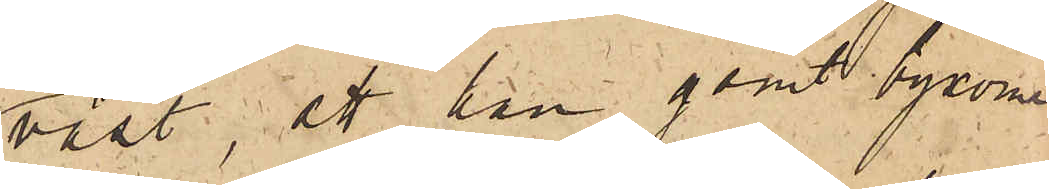väst; att han gömt byxorna
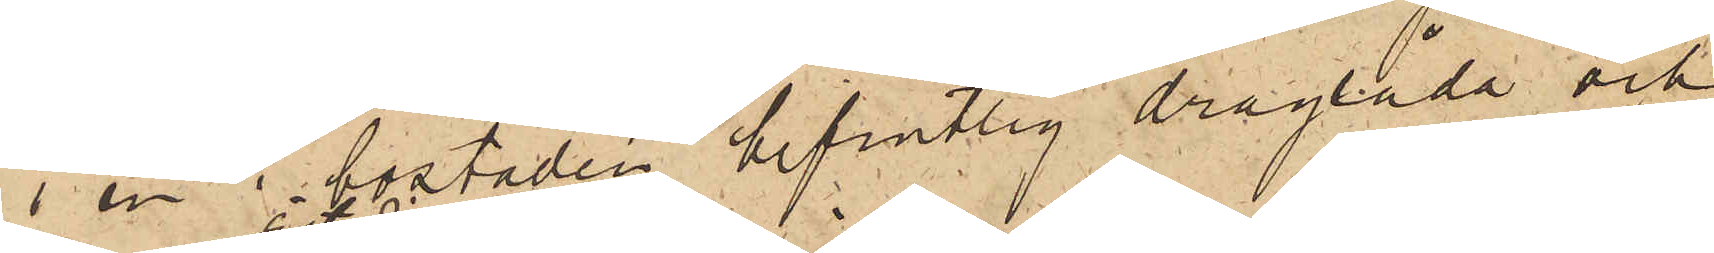i en i bostaden befintlig draglåda och
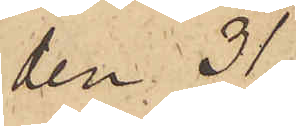den 31
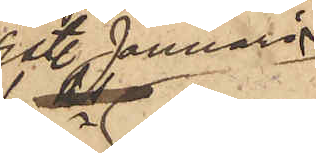sist. Januari
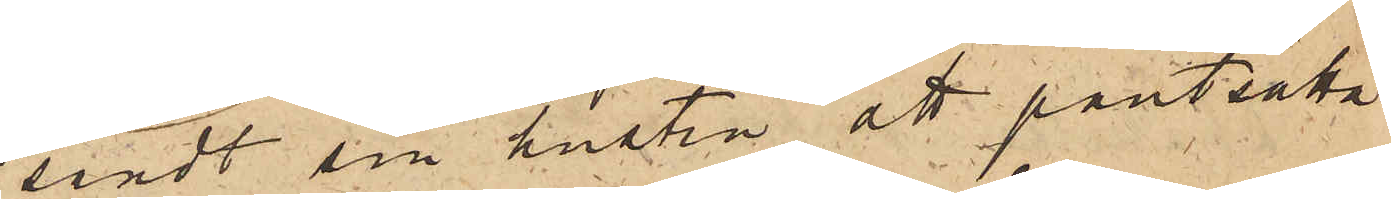sändt sin hustru att pantsätta
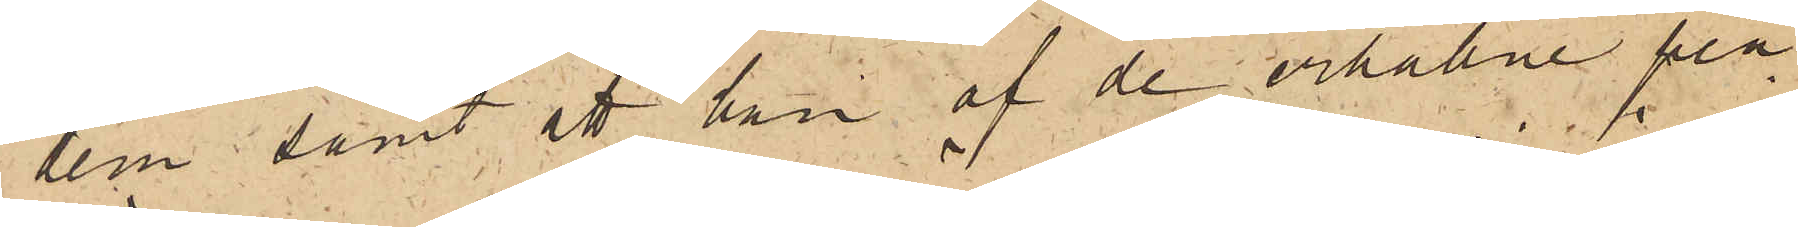dem samt att han af de erhållne pen¬
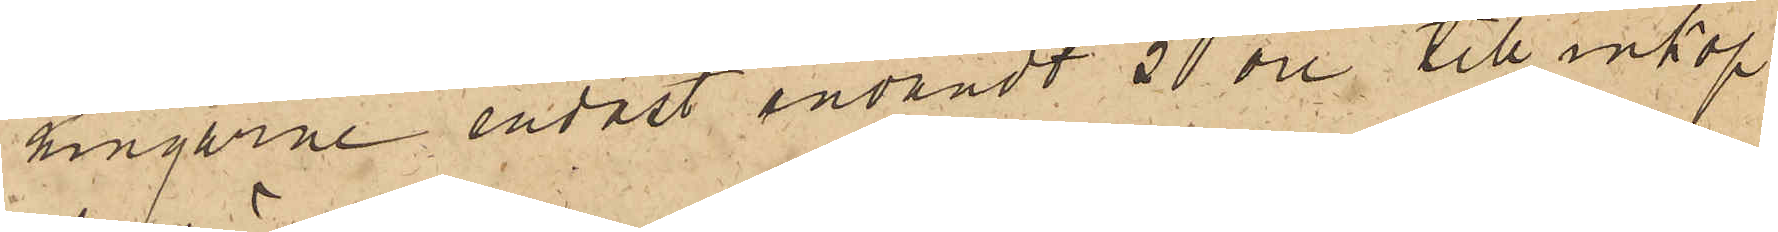ningarne endast användt 50 öre till inköp
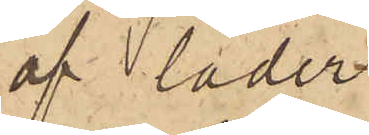af läder.
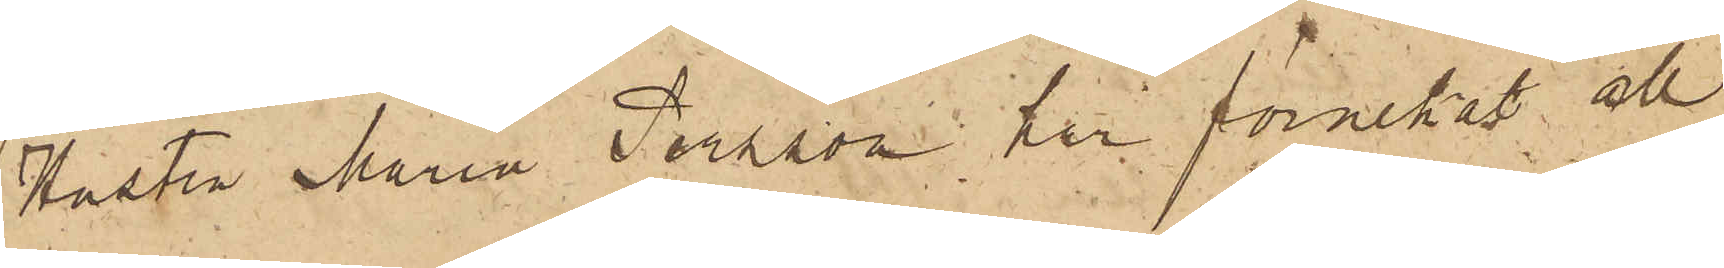Hustru Maria Persson har förnekat all
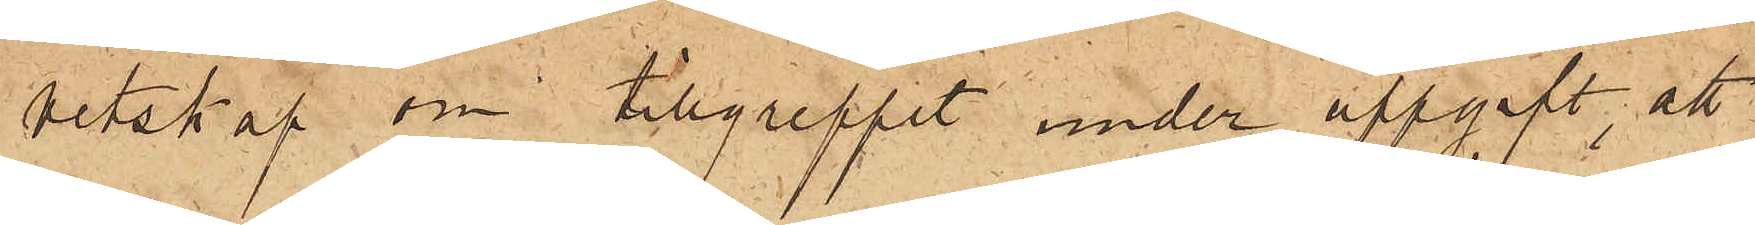vetskap om tillgreppet under uppgift, att
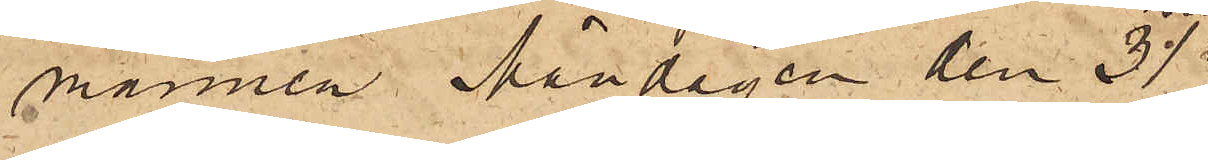mannen Måndagen den 31
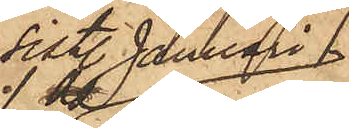sist. Januari
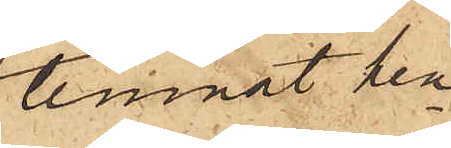lemnat hen¬
